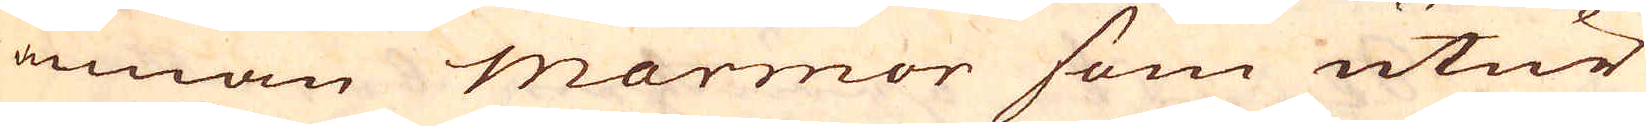annan marmor som utur
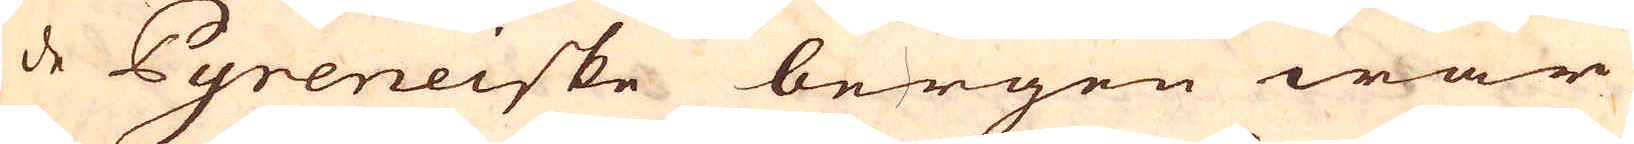de Pyreneiske bergen war
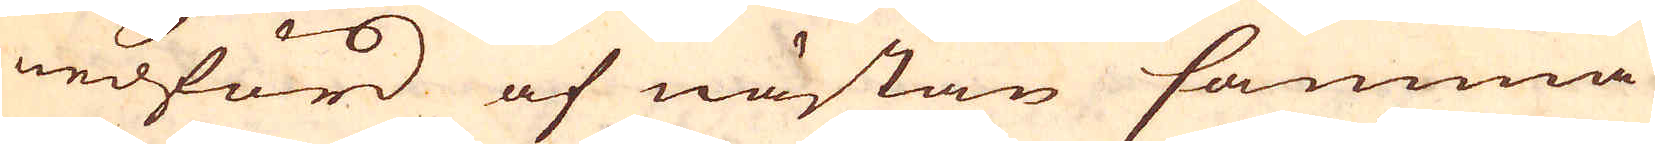nedförd af nästan samma
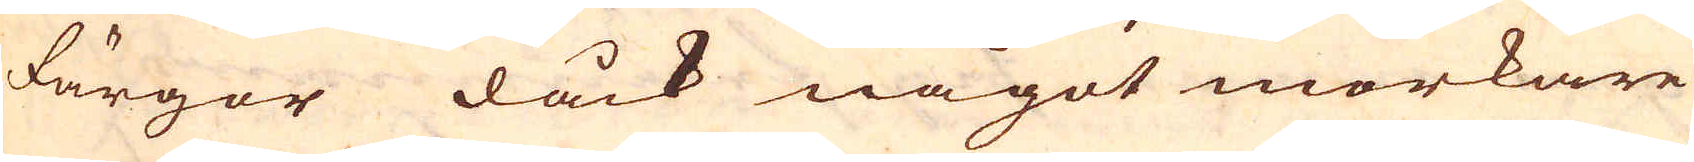färgor dåck något mörkare
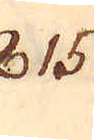815.
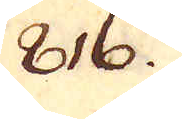816.
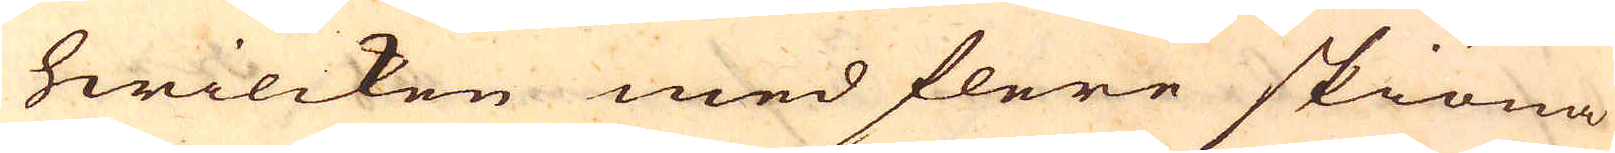hwilcken med flere skiöna
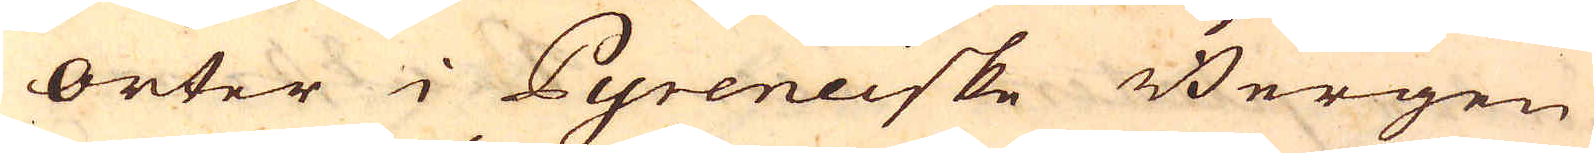orter i Pyreneiske Bergen
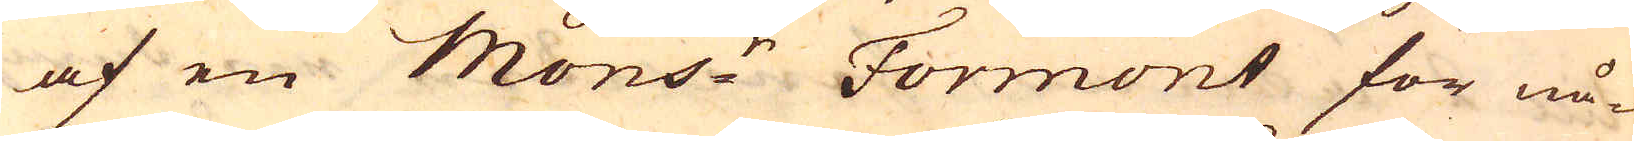af en Mons:r Formont för nå-
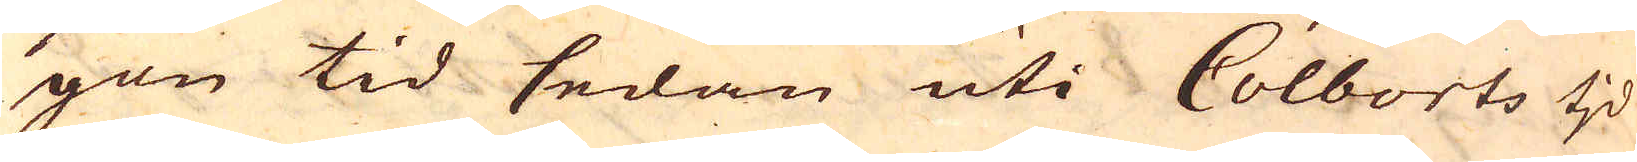gon tid sedan uti Colberts tjd
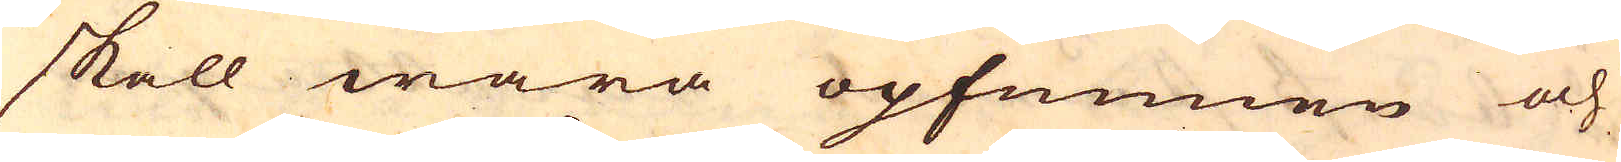skall wara opfunnen och
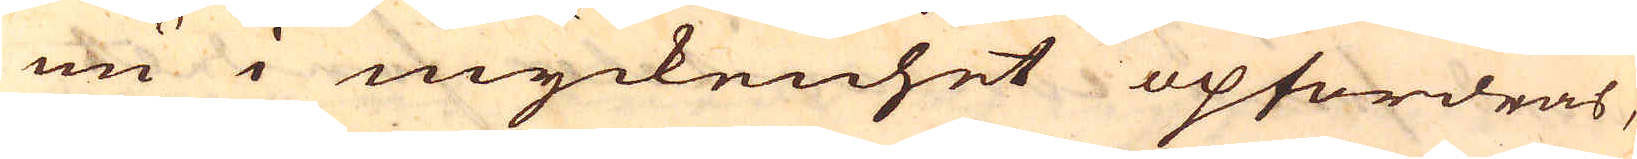nu i myckenhet opfordras,
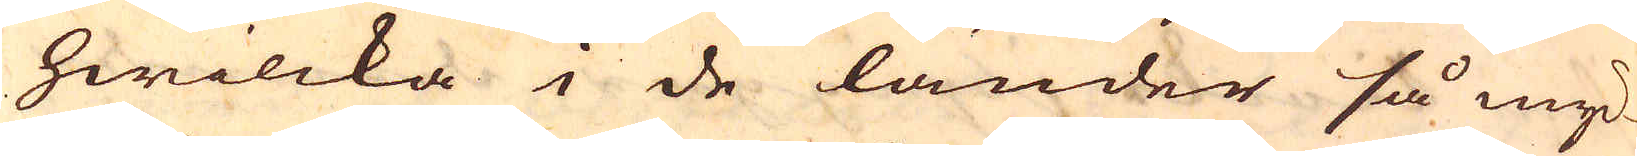hwilcka i de länder så myc-
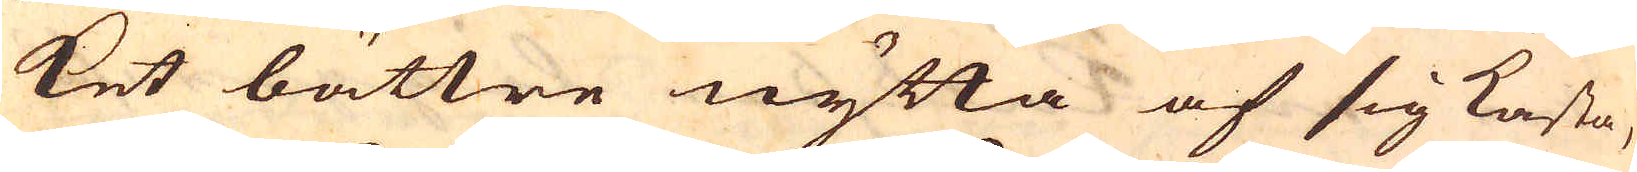ket bättre nytta af sig kasta,
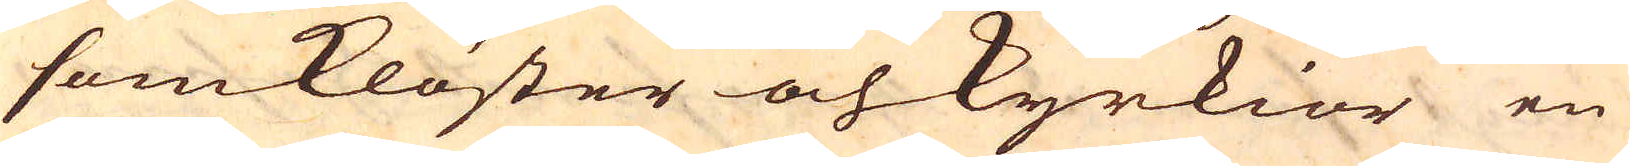som Klöster och Kyrkior en
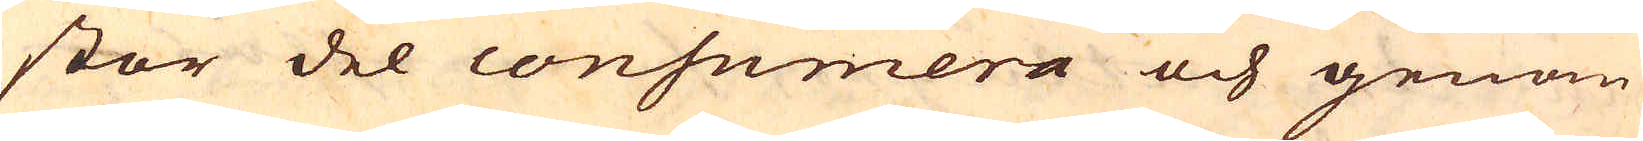stor del consumera och genom
